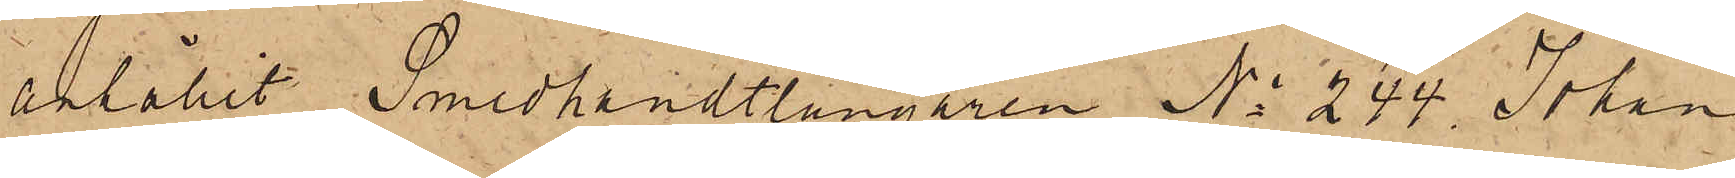anhållit Smedhandtlangaren No 244 Johan
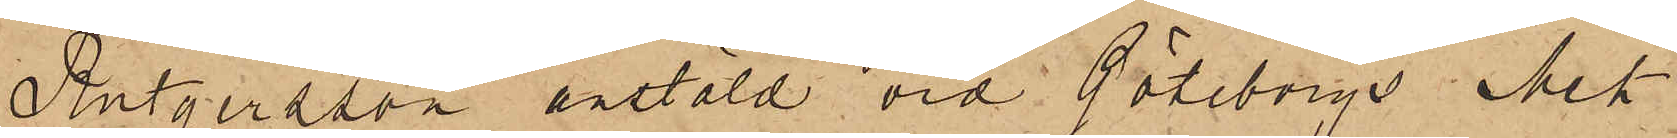Rutgersson anstäld vid Göteborgs Mek
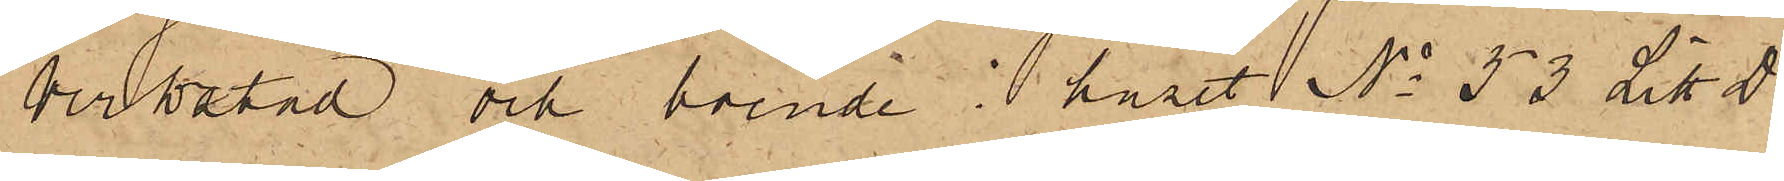Verkstad och boende i huset No 53 Litt D
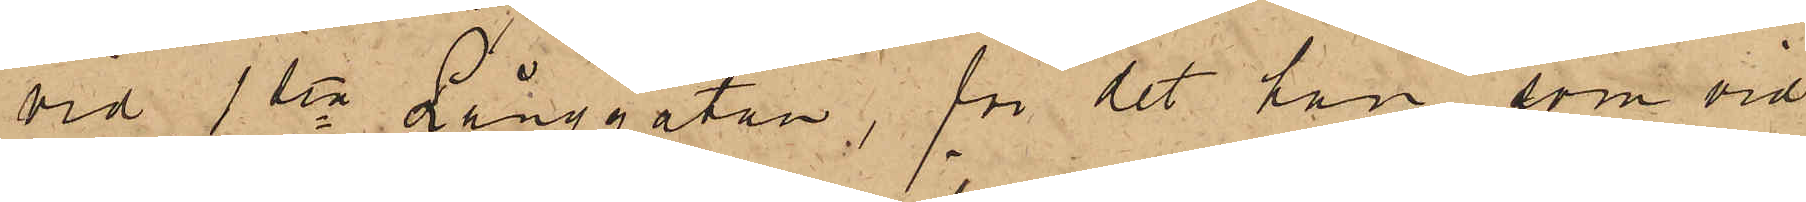vid 1sta Långgatan, för det han som vid
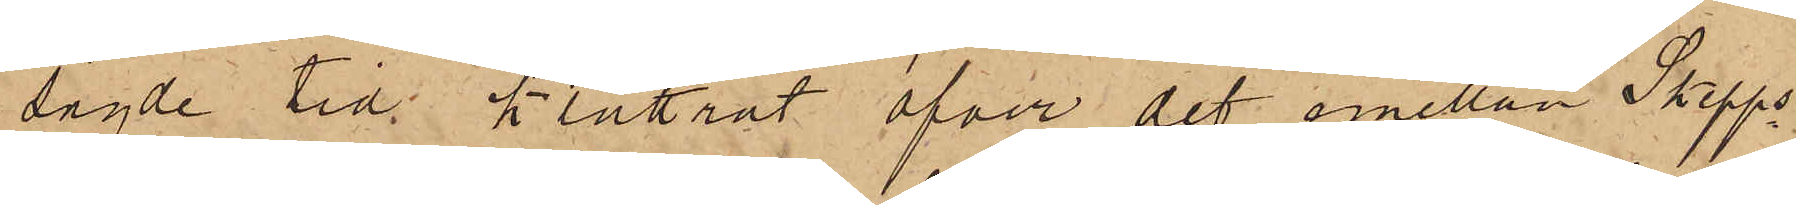sagde tid klättrat öfver det emellan Skepps¬
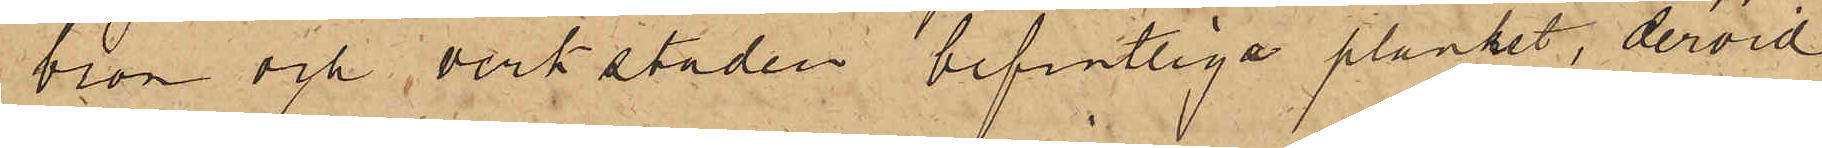bron och verkstaden befintliga planket, dervid
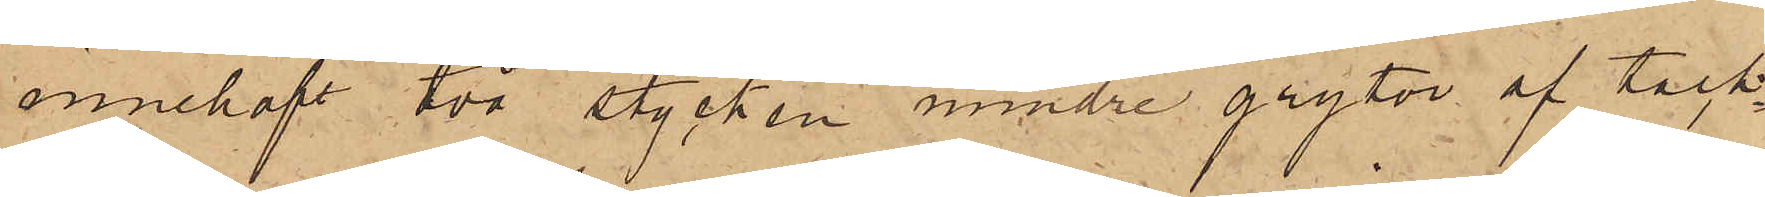innehaft två stycken mindre grytor af tack¬
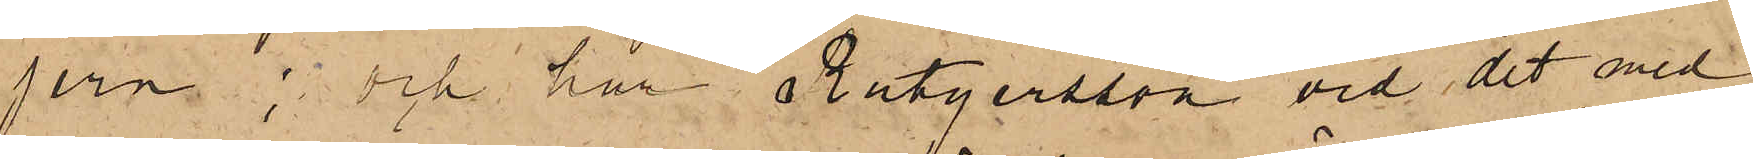jern; och har Rutgersson vid det med
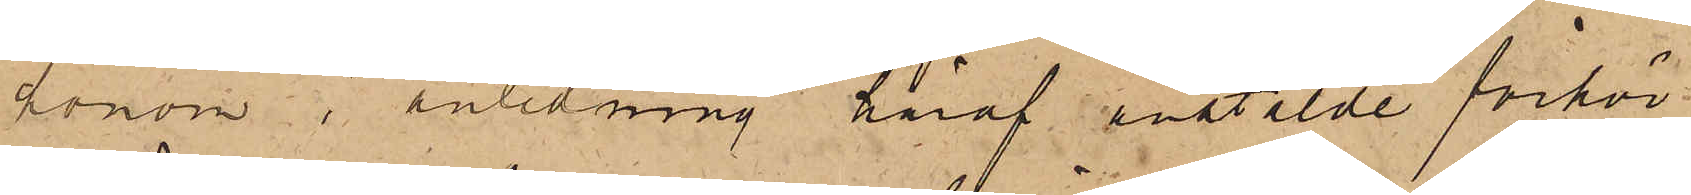honom i anledning häraf anstälde förhör
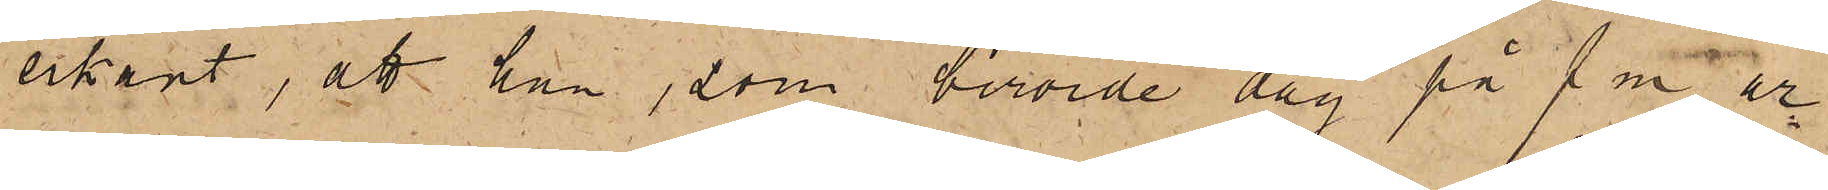erkänt, att han, som berörde dag på f m ar¬
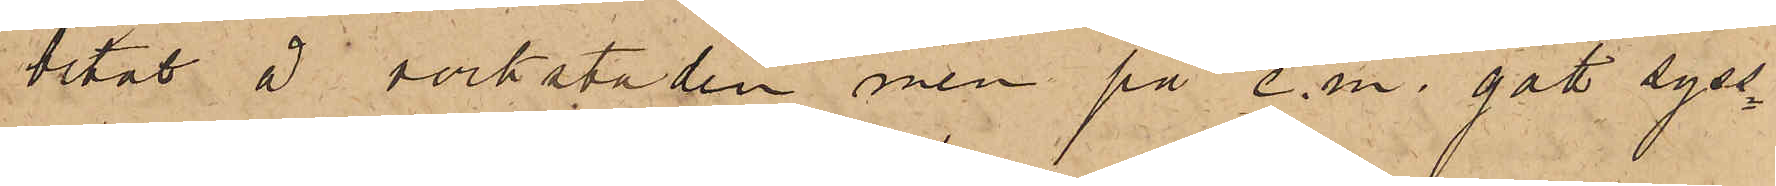betat å verkstaden, men på e.m. gått syss¬
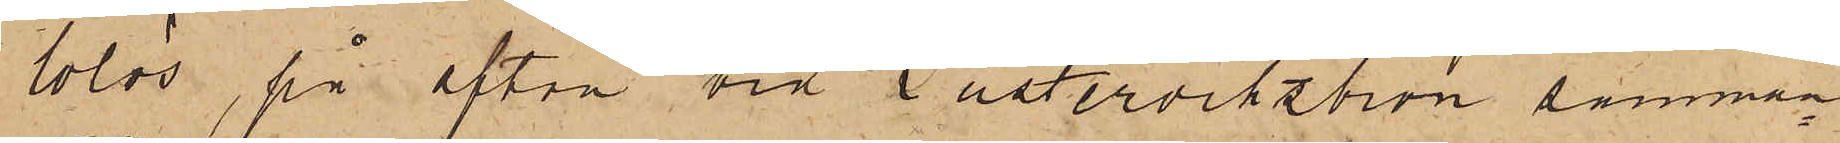lolös, på afton vid Pusterviksbron samman¬
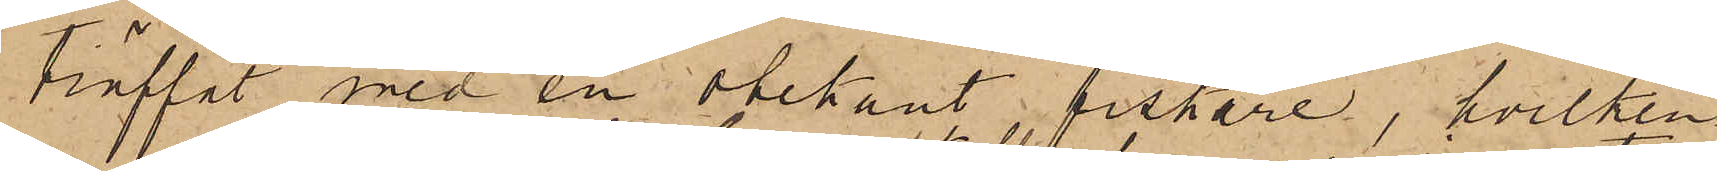träffat med en obekant fiskare, hvilken
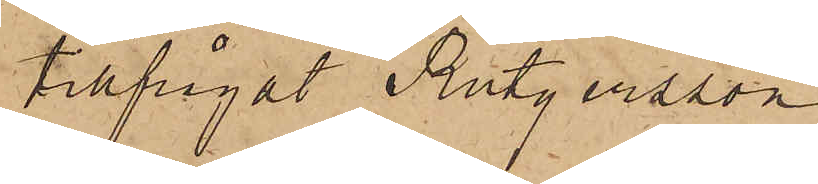tillfrågat Rutgersson
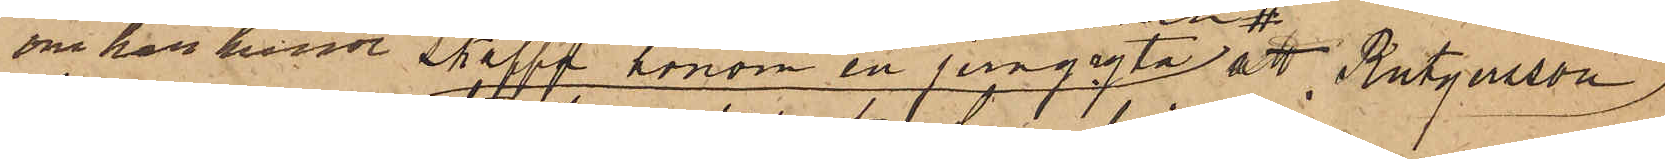om han kunde skaffa honom en jerngryta att Rutgersson,
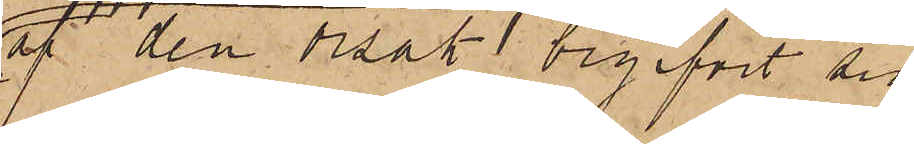af den orsak begifvit sig
